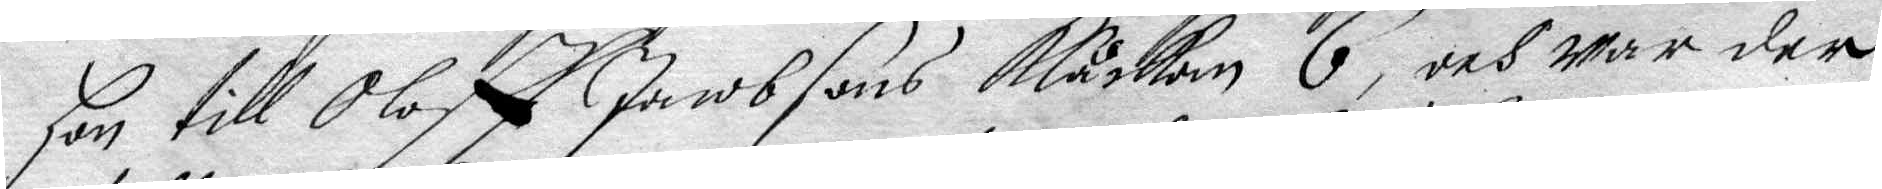Hon till Oloff Jacobsons Klåckan 6, och war der
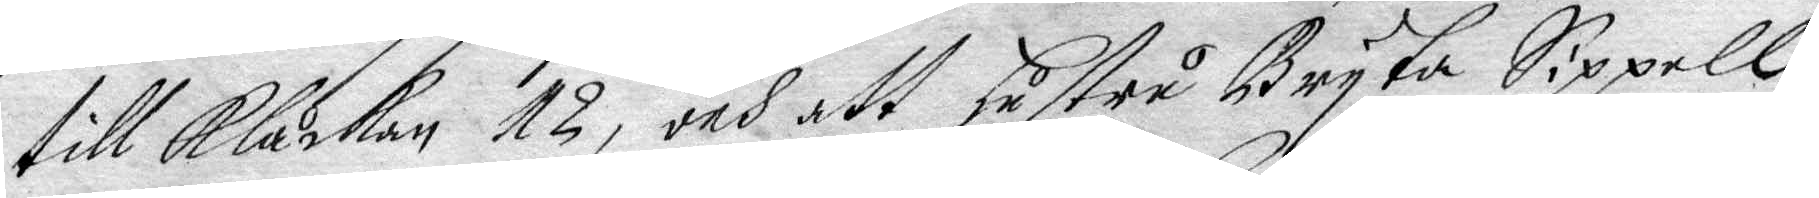till Klåckan 12, och att hustru Bryta Sippell
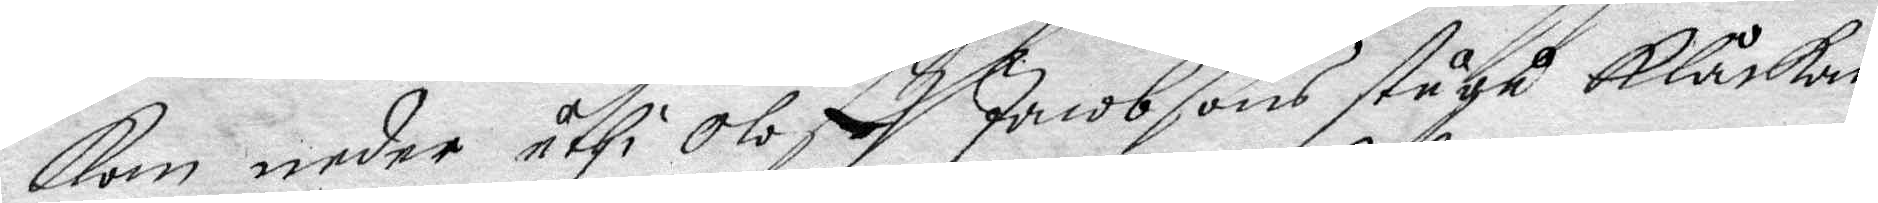kom neder uthi Oloff Jacobsons stugu Klåckan
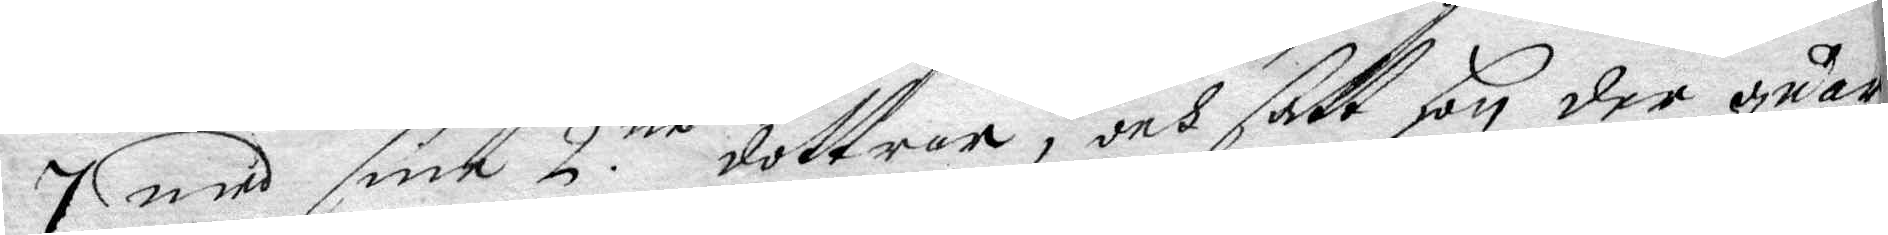7 med sine 2:ne döttrar, och satt hon der quar
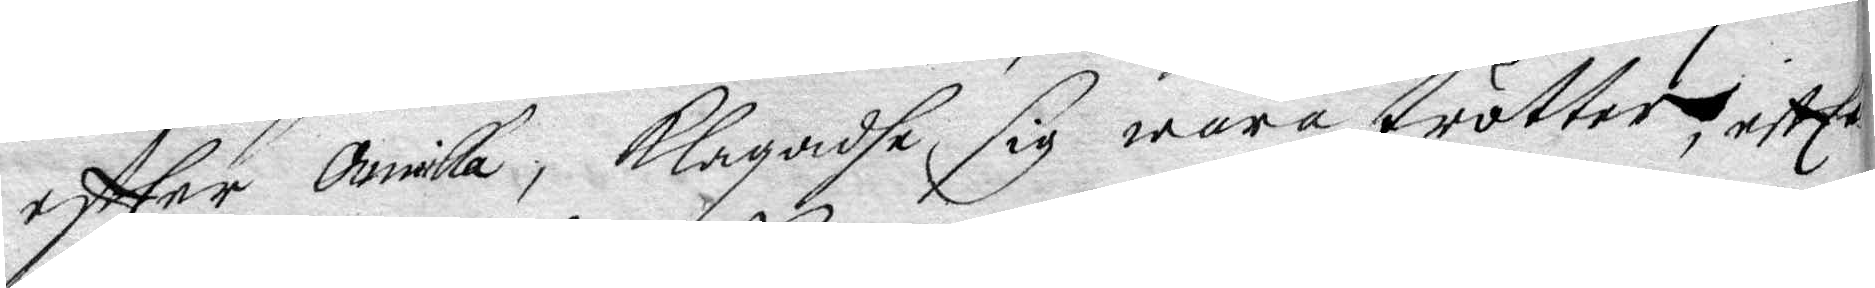eftter Annika, klagadhe sig wara trötter, eftter
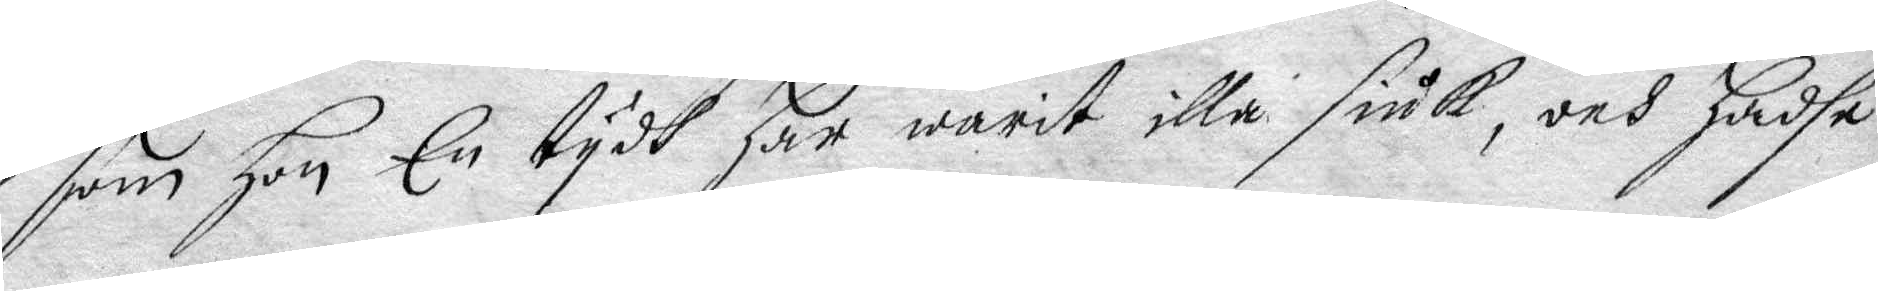som hon En tydh har warit illa siuk, och hadhe
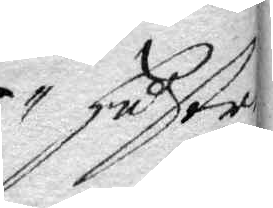hustru
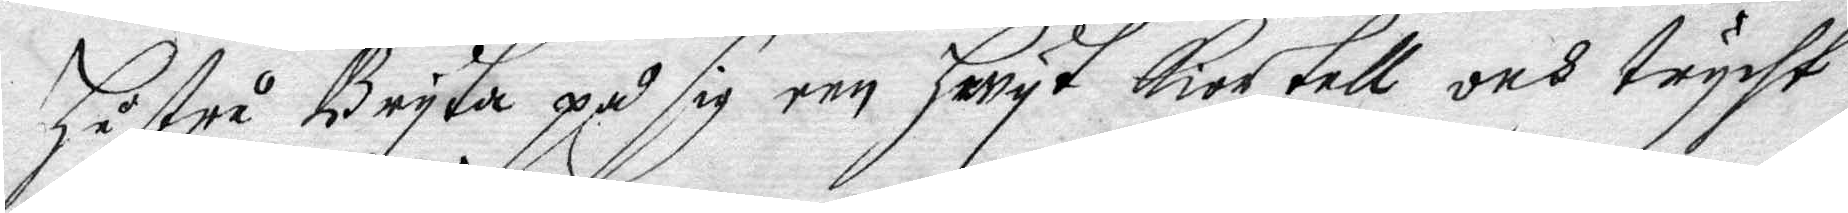Hustru Bryta på sig een hwyt kiortell och trycht
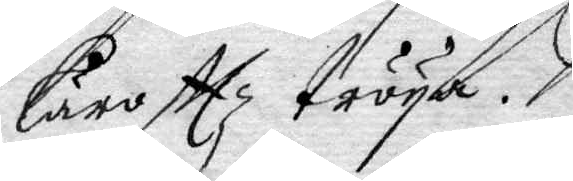Lärofttz tröya.
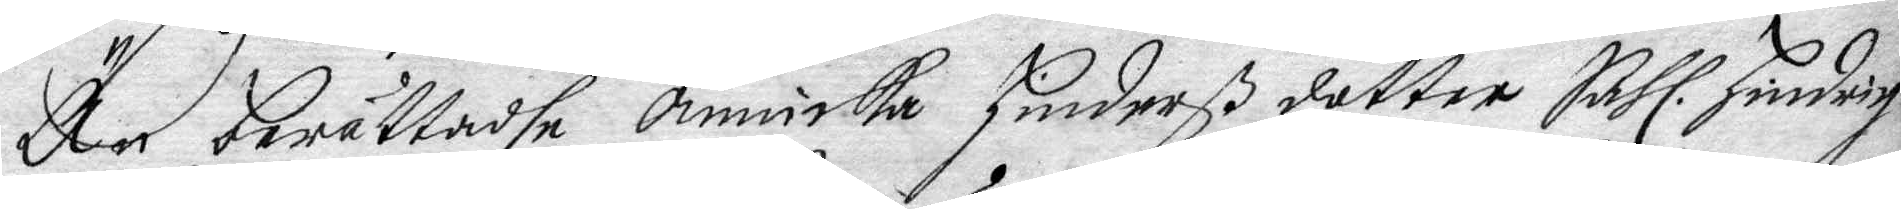Än berättadhe Annicka Hinderß dotter Sahl. Hindrich
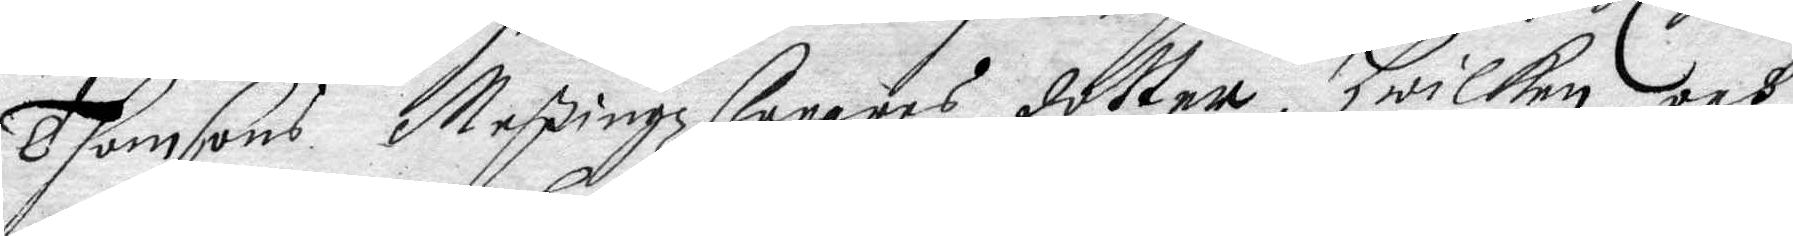Tomsons Messingzlagares dotter, hwilken och
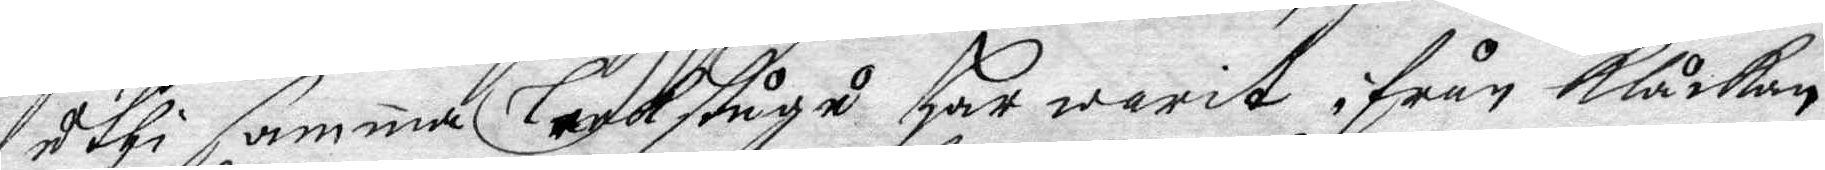uthi samma Leekstugu Har warit ifrån Klåckan
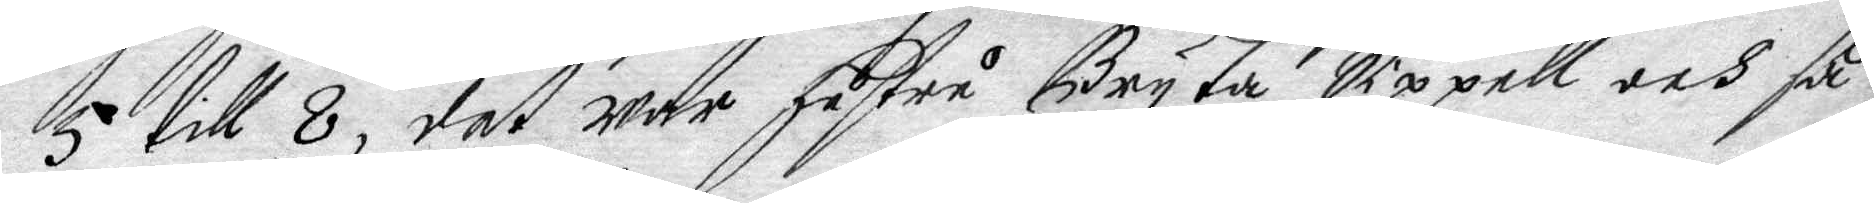5 till 8, det war hustru Bryta Sippell och så
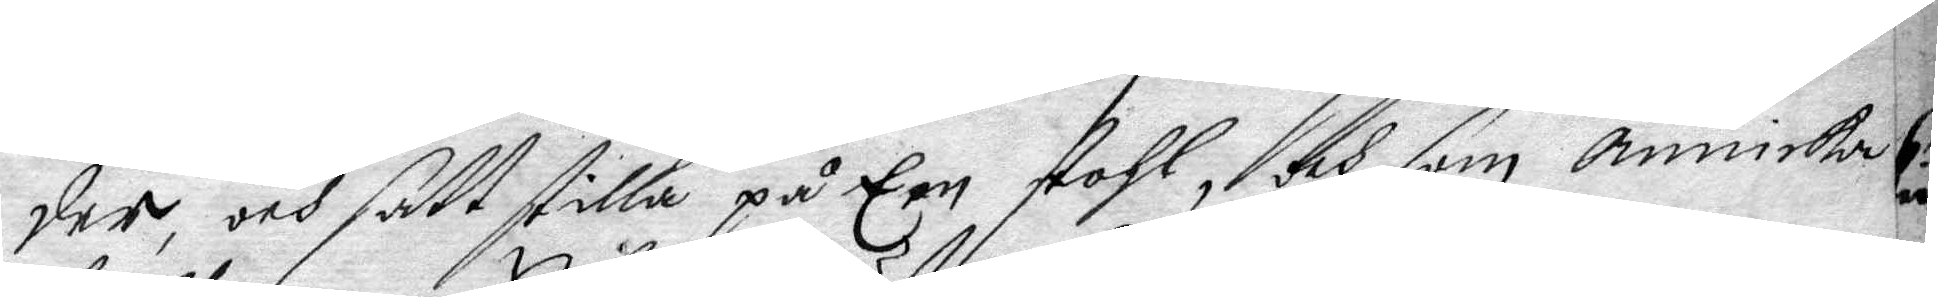der, och satt stilla på Een stohl, och som Annika
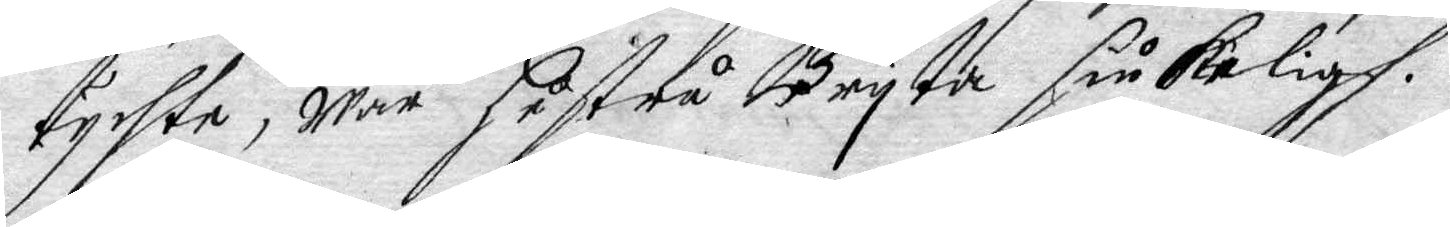tychte, war hustru Bryta siukeligh.
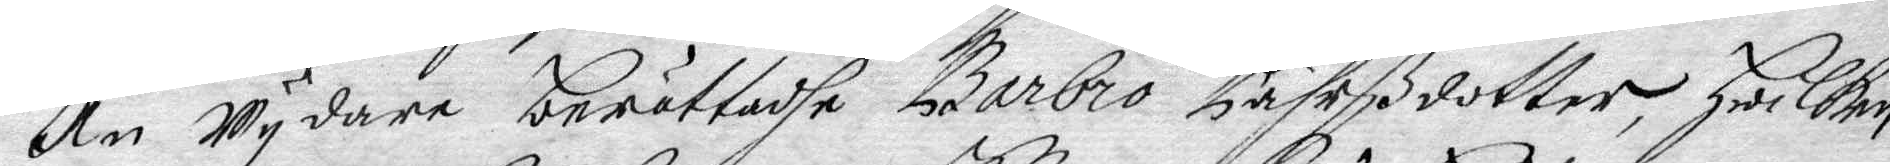Än wydare berättadhe Barbro Pährßdotter, Hwilken
